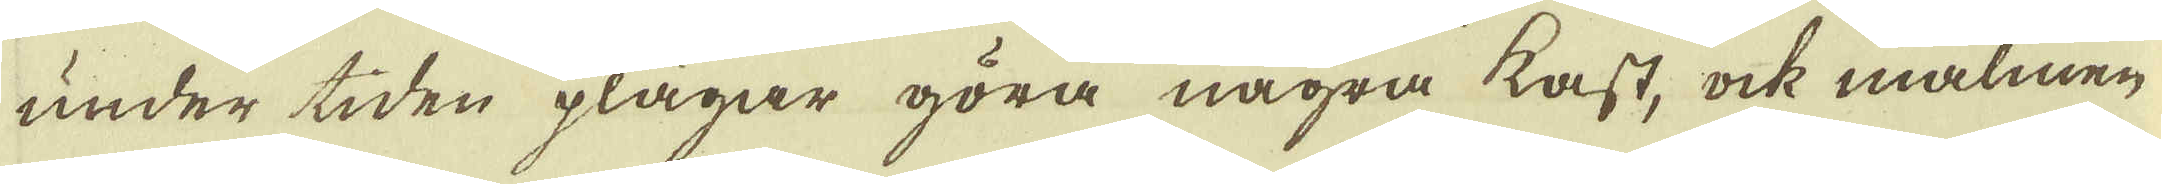under tiden plägar göra några kast, ock malmen
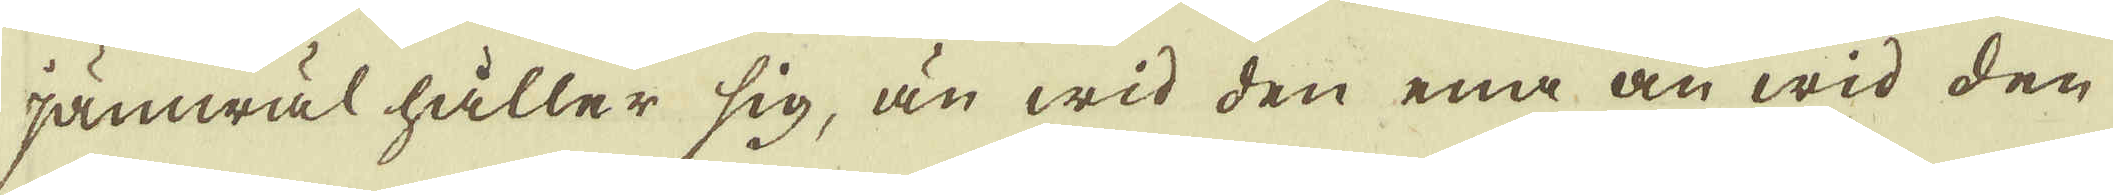jämwäl håller sig, än wid den ena än wid den
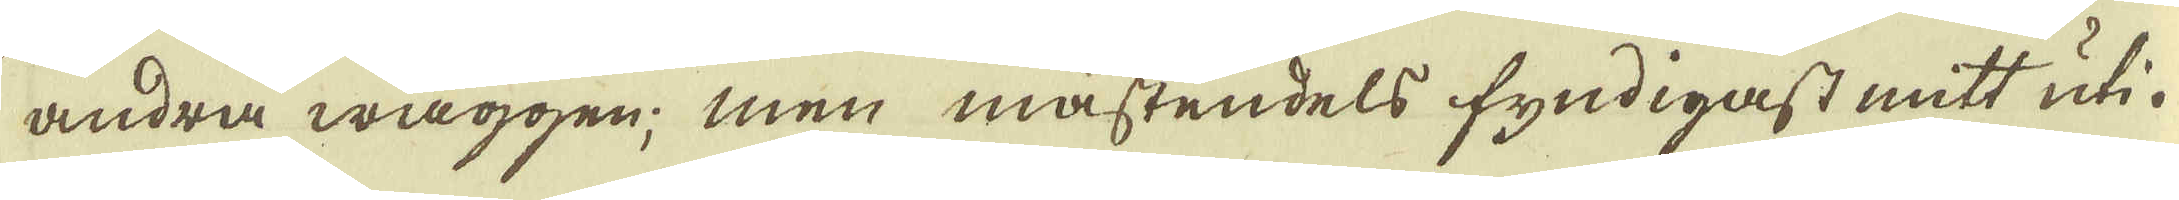andra wäggen; men mästendels fyndigast mitt uti.
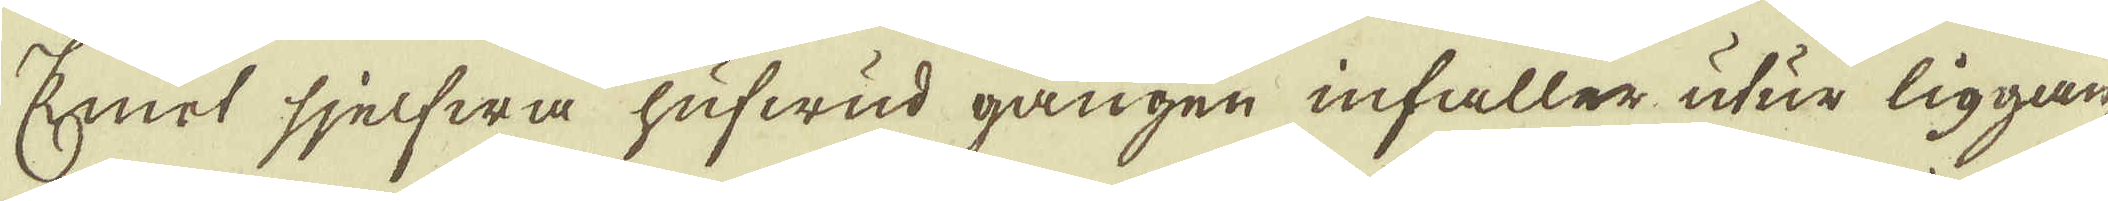Emot sjelfwa hufwud gången infaller utur liggan-
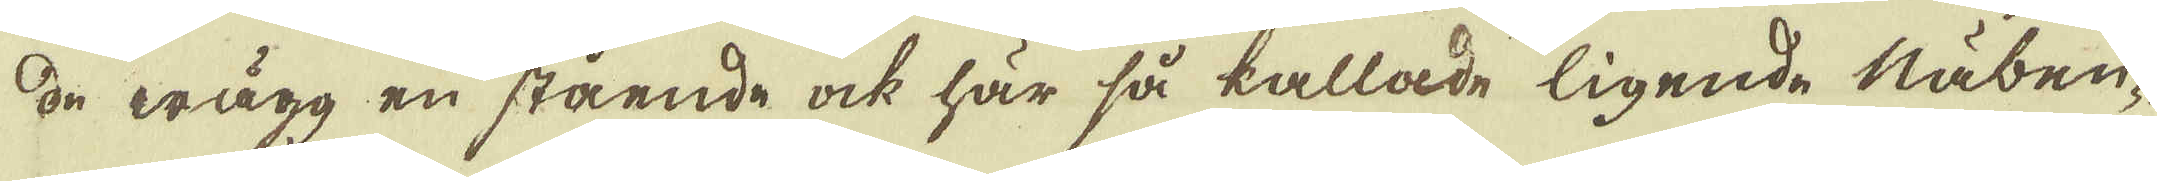de wägg en stående ock här så kallade ligende Näben-
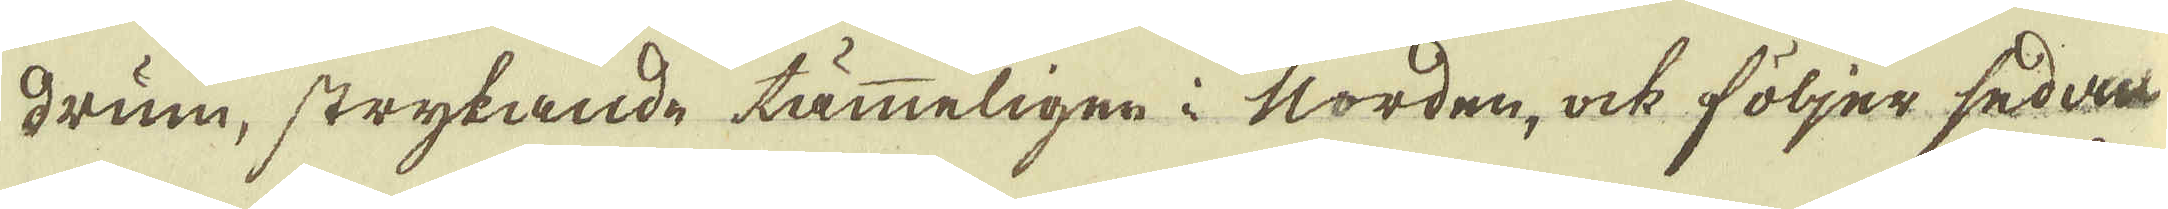drum, strykande tämmeligen i Norden, ock följer sedan
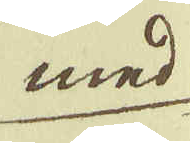med
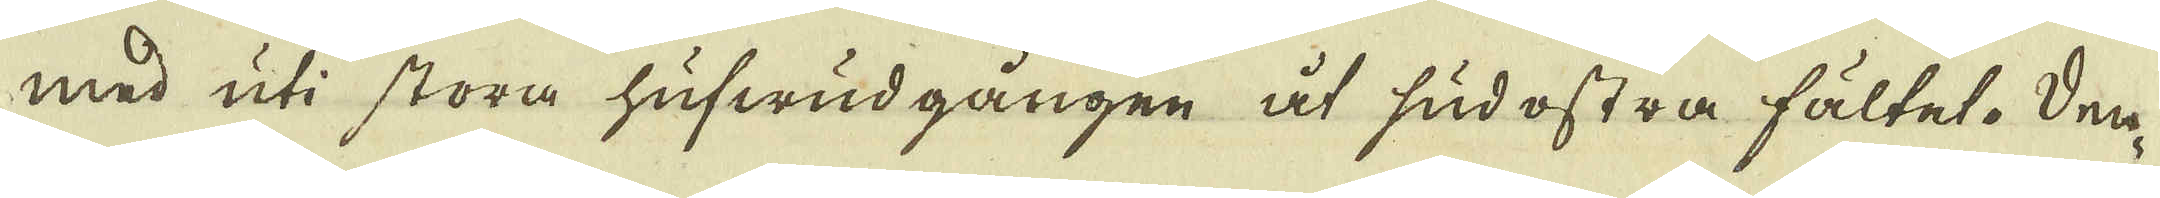med uti stora hufwud gången åt sudostra fältet. Den-
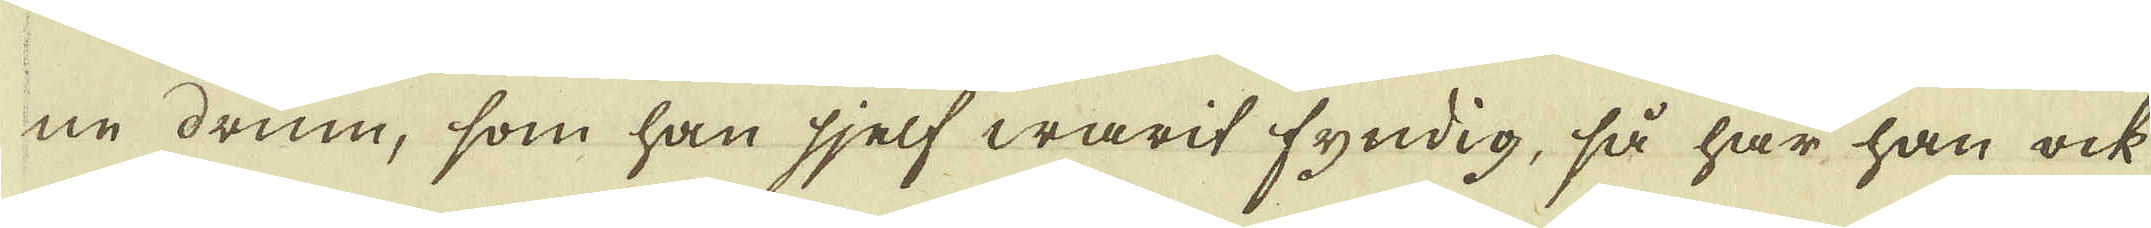ne drum, som han sjelf warit fyndig, så har han ock
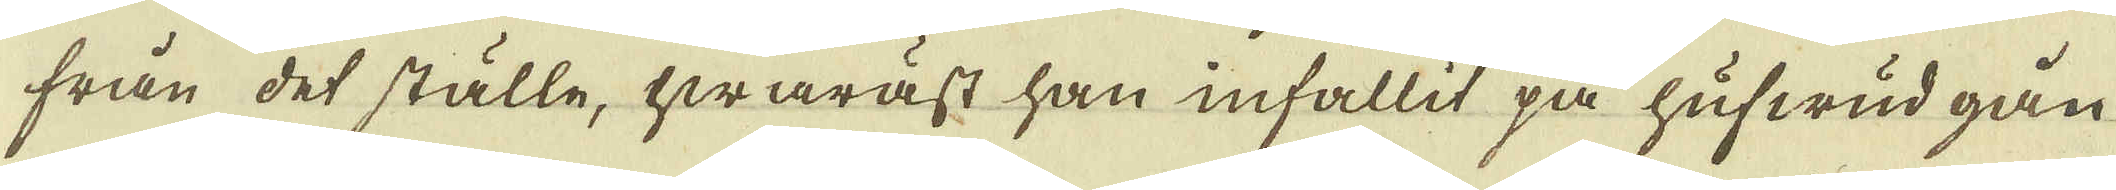från det ställe, hwarast han infallit på hufwud gån
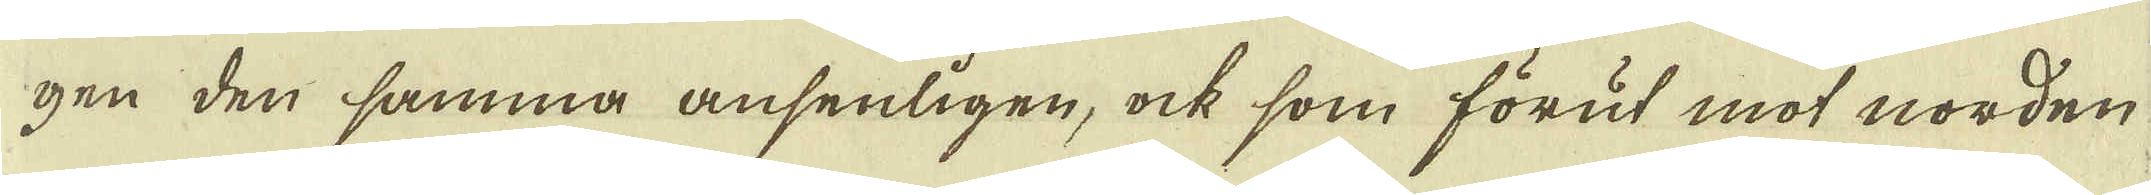gen den samma ansenligen, ock som förut mot norden
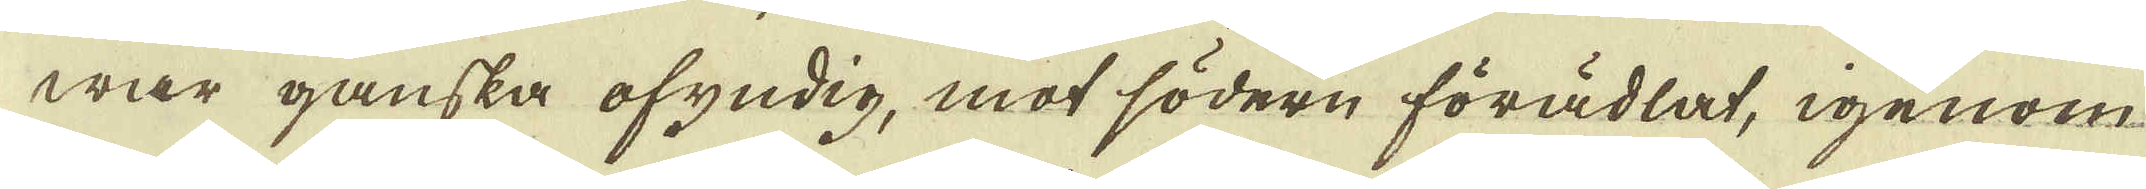war ganska ofyndig, mot södern förädlat, igenom
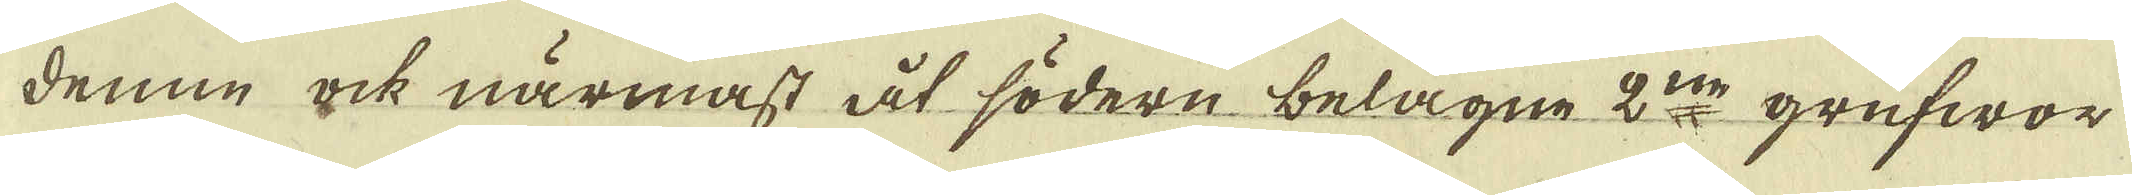denne ock närmast åt södern belägne 2:ne grufwor
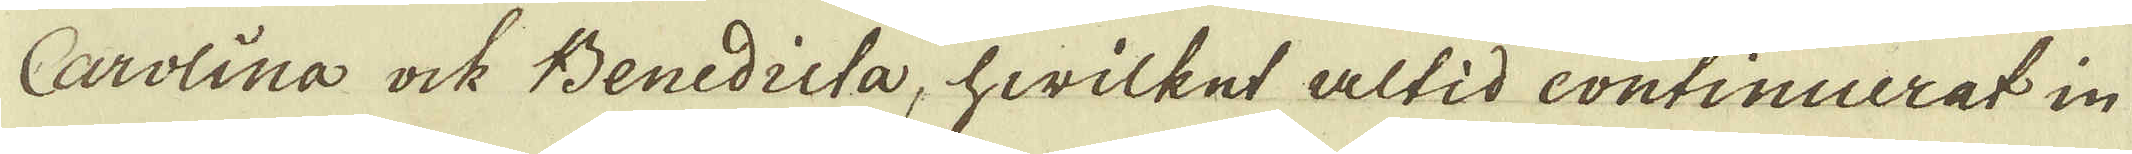Carolina ock Benidicta, hwilket altid continuerat in
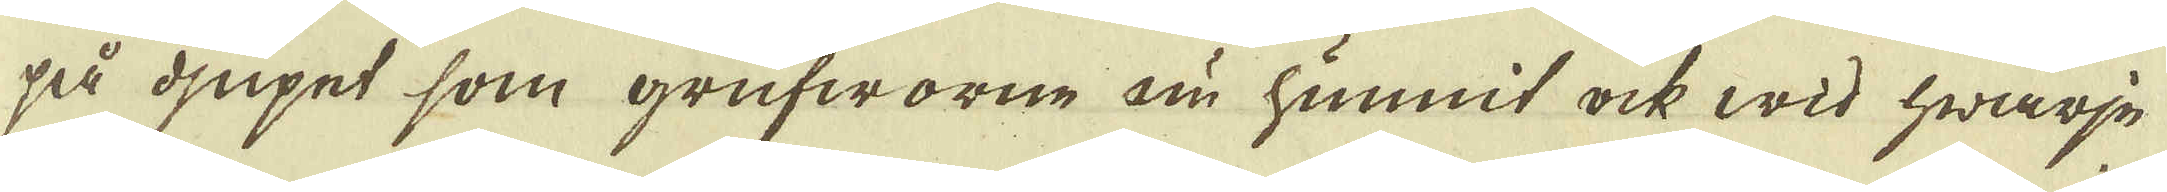så djupet som grufworne nu hunnit ock wid hwarje
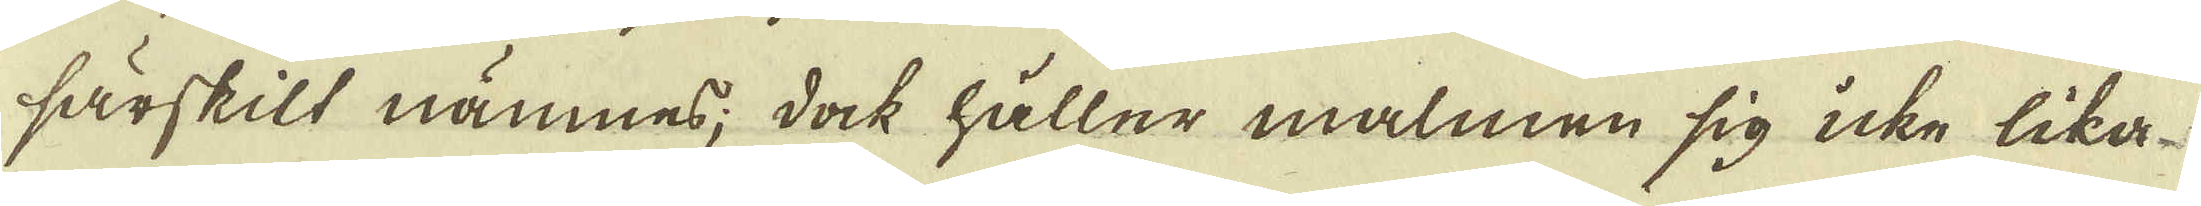särskilt nämnes; dock håller malmen sig icke lika
